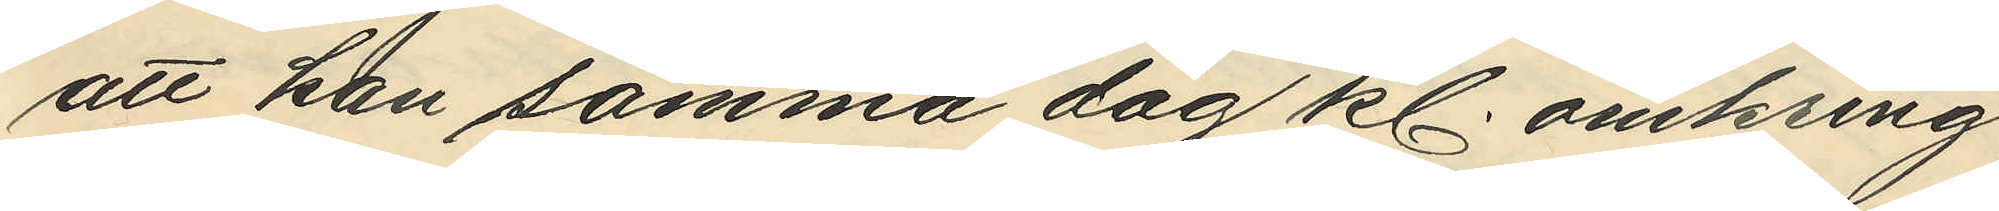att han samma dag kl. omkring
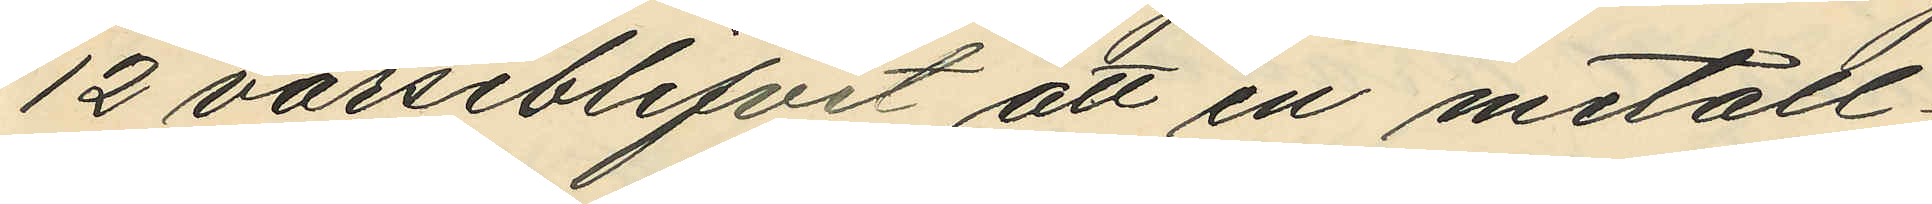12 varseblifvit att en metall¬
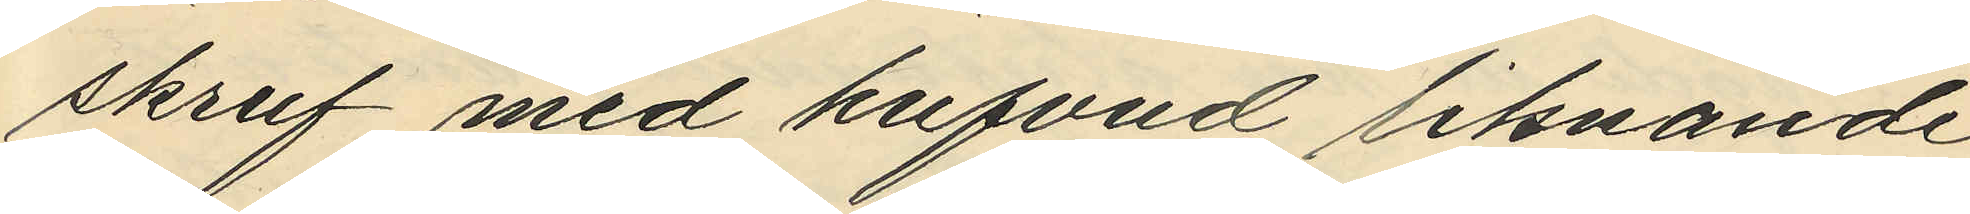skruf med hufvud liknande
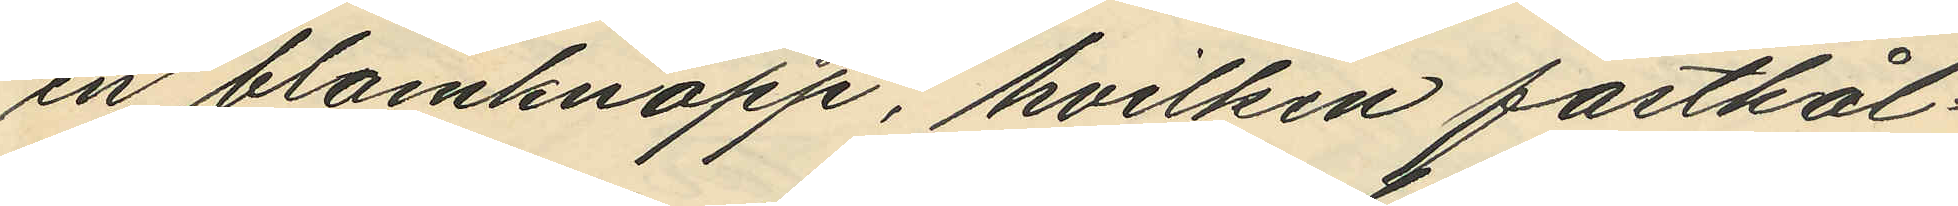en blomknapp, hvilken fasthål¬
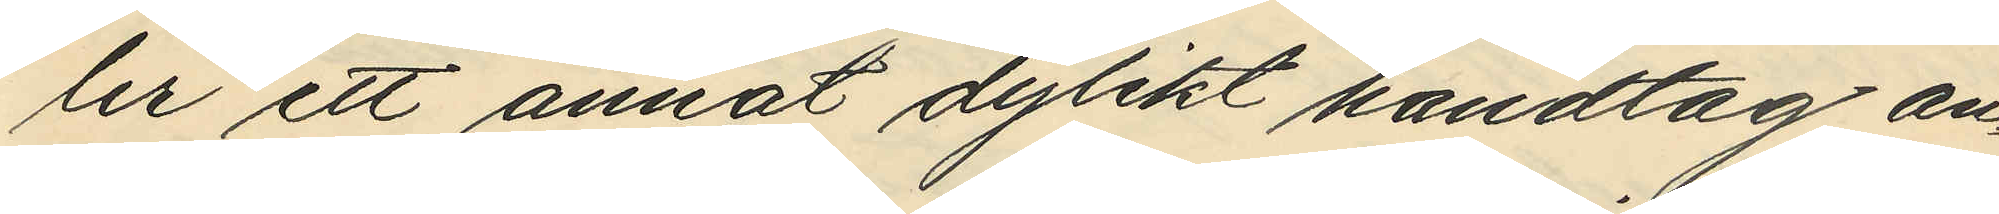ler ett annat dylikt handtag an¬
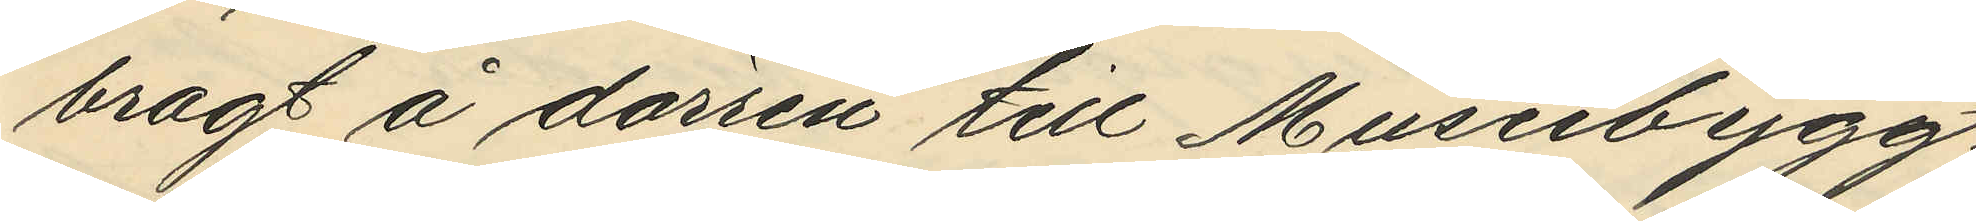bragt å dörren till Museibygg¬
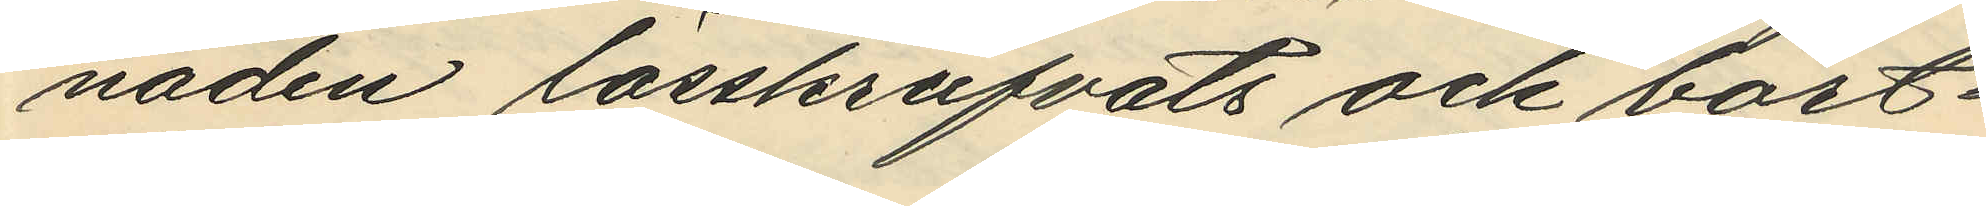naden lösskrufvats och bort¬
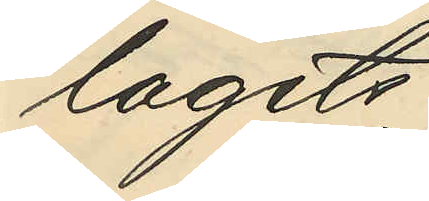lagits.
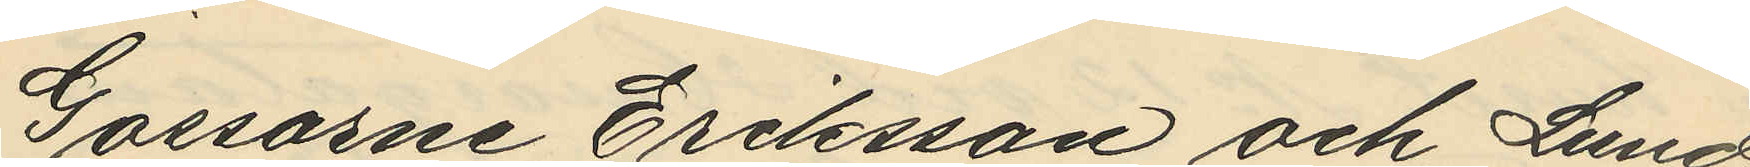Gossarne Eriksson och Lund¬
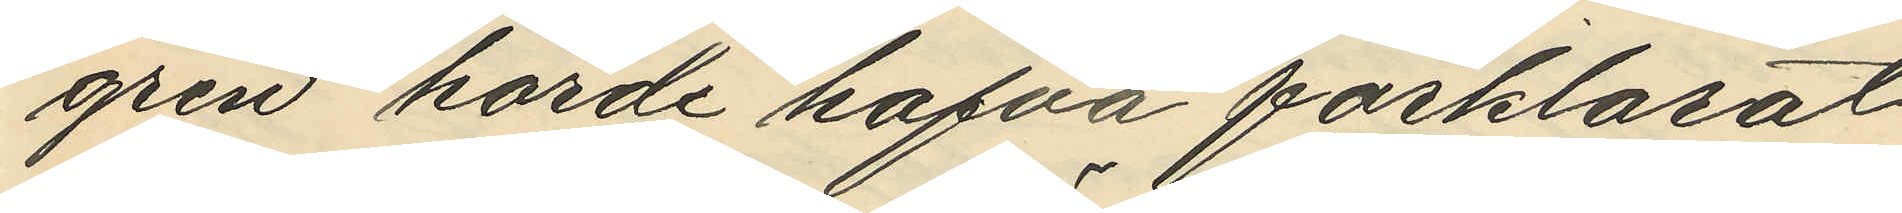gren hörde hafva förklarat
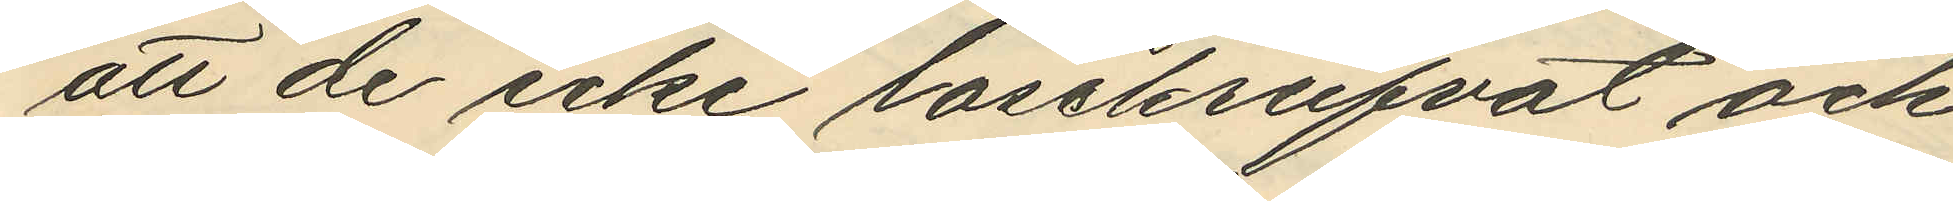att de icke lösskrufvat och
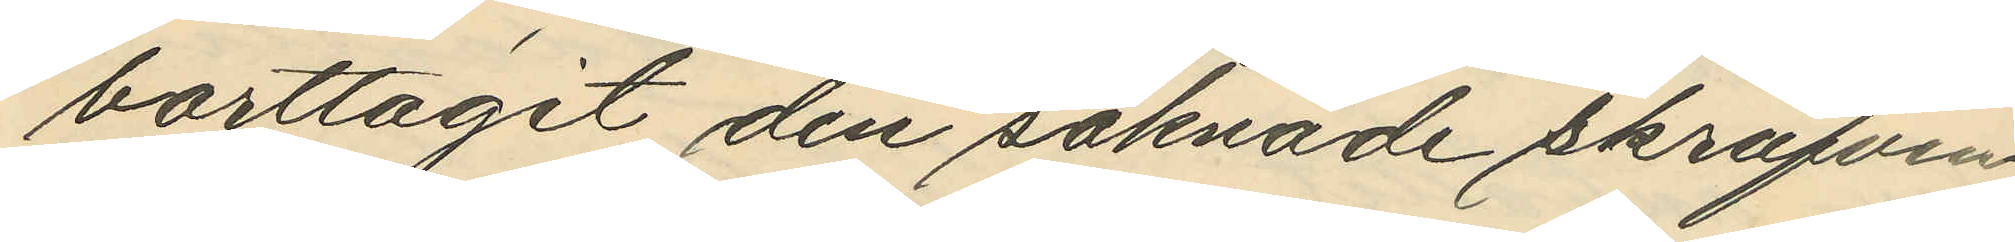borttagit den saknade skrufven
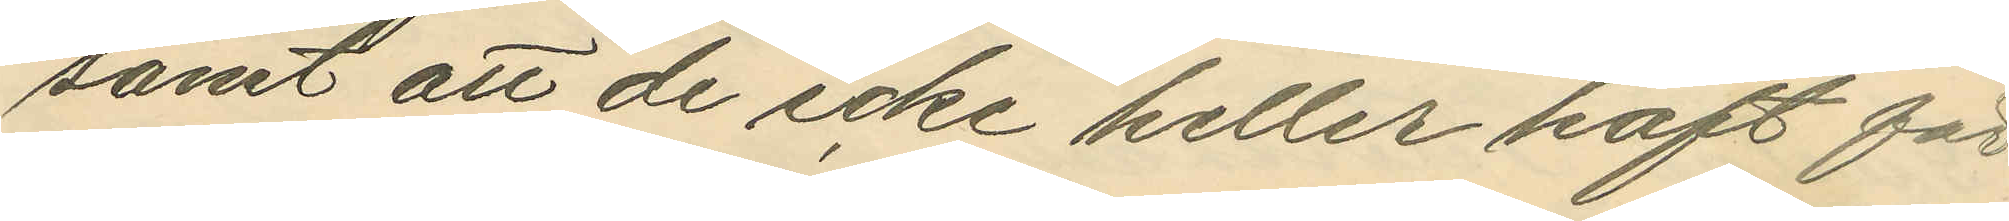samt att de icke heller haft för
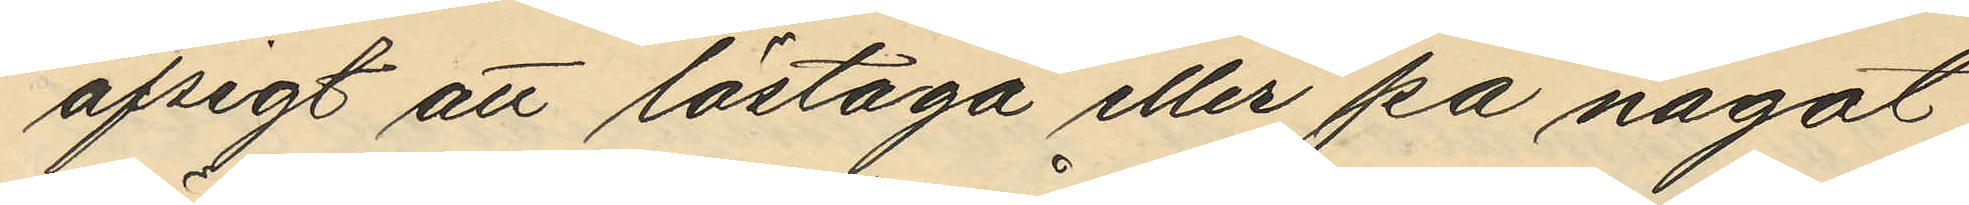afsigt att löstaga eller på något
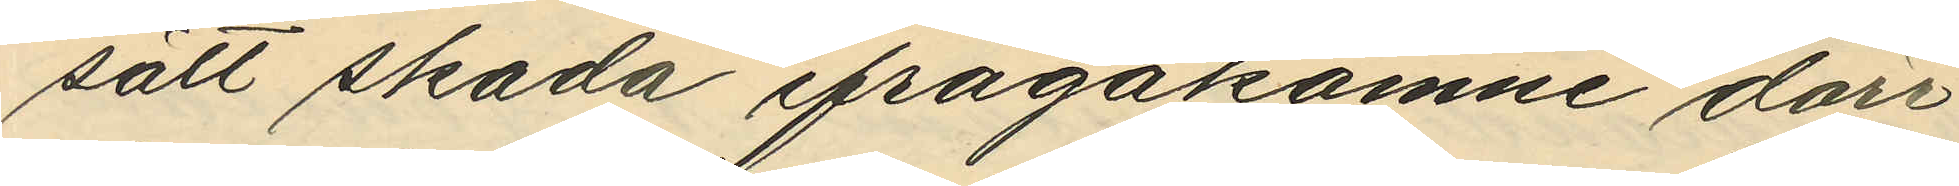sätt skada ifrågakomne dörr¬
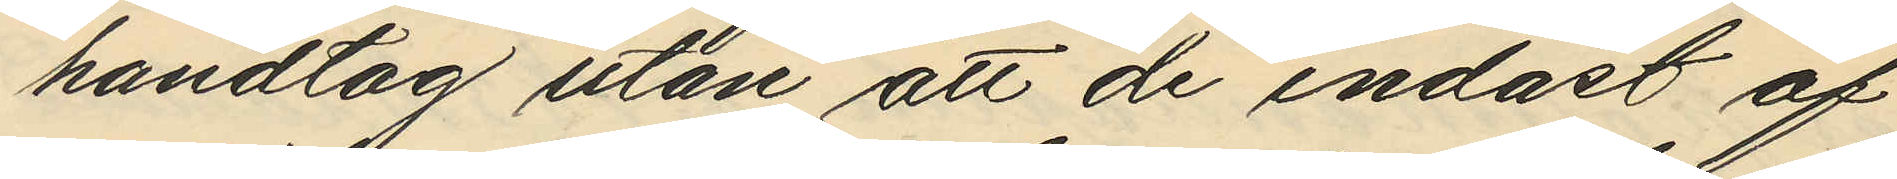handtag utan att de endast af
